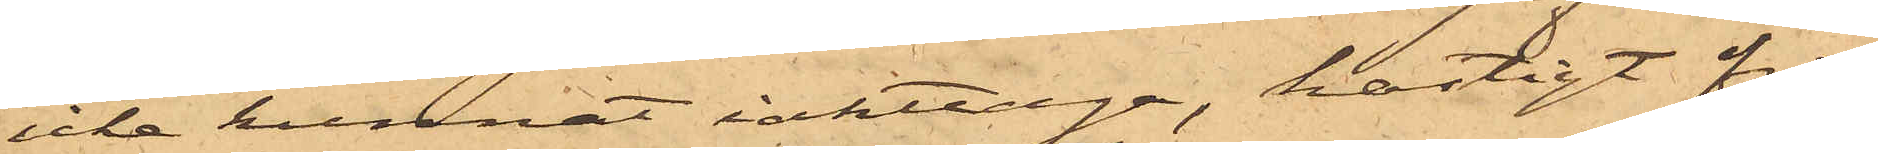icke kunnat iakttaga, hastigt från¬
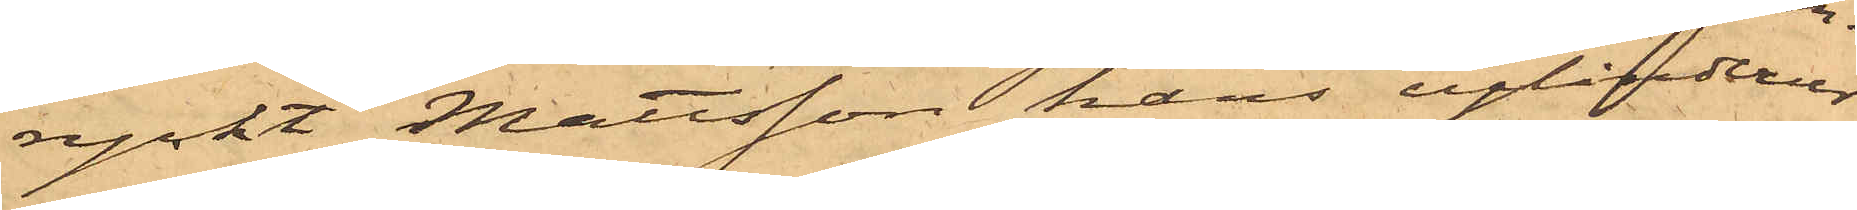ryckt Mattsson hans cylinderur
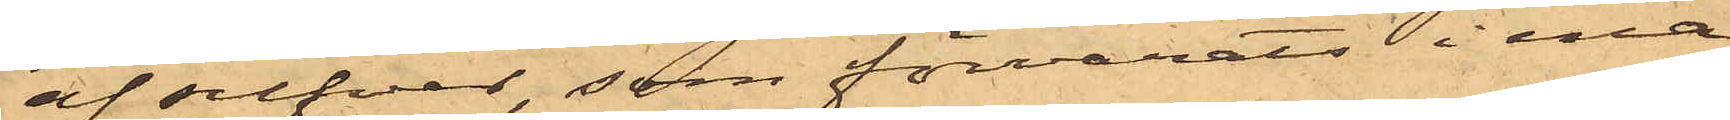af silfver, som förvarats i ena
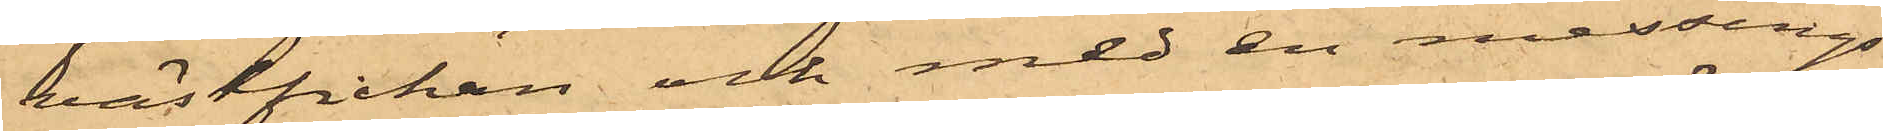västfickan och med en messings¬
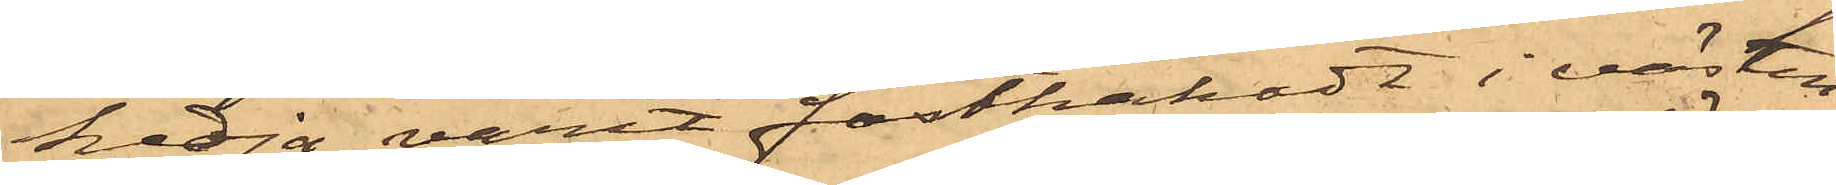kedja varit fasthakadt i västen,
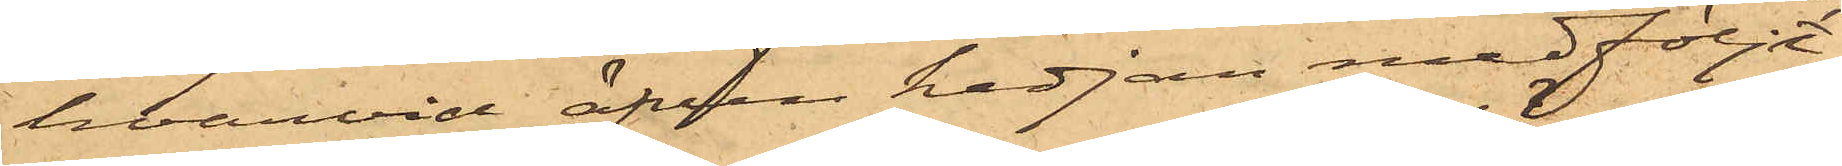hvarvid äfven kedjan medföljt;
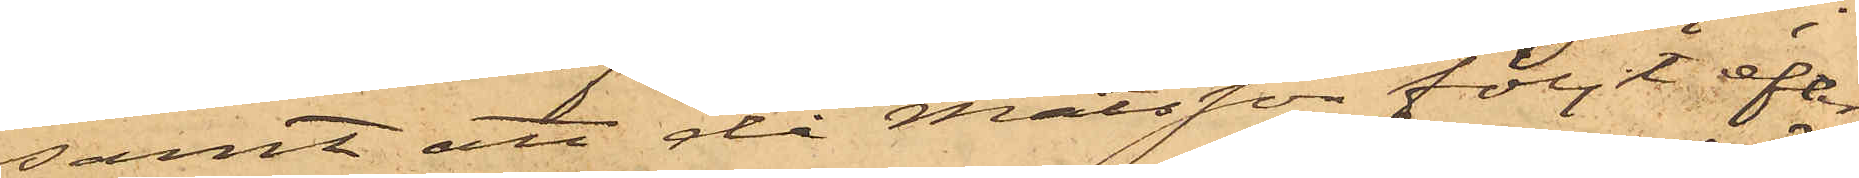samt att då Matsson följt efter
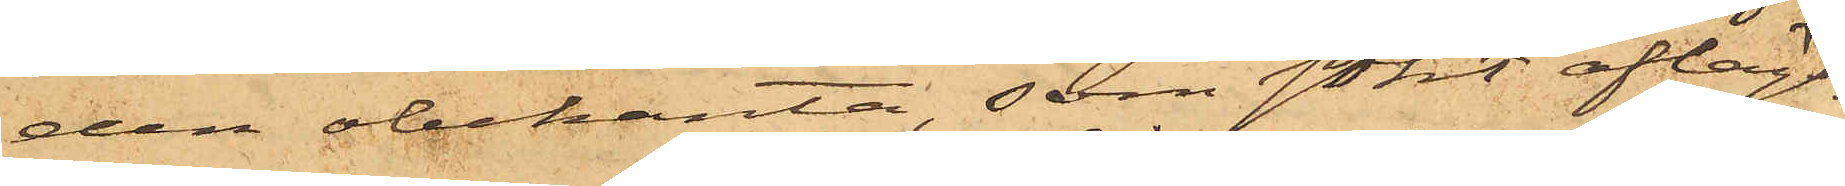den obekanta, som sökt aflägs¬
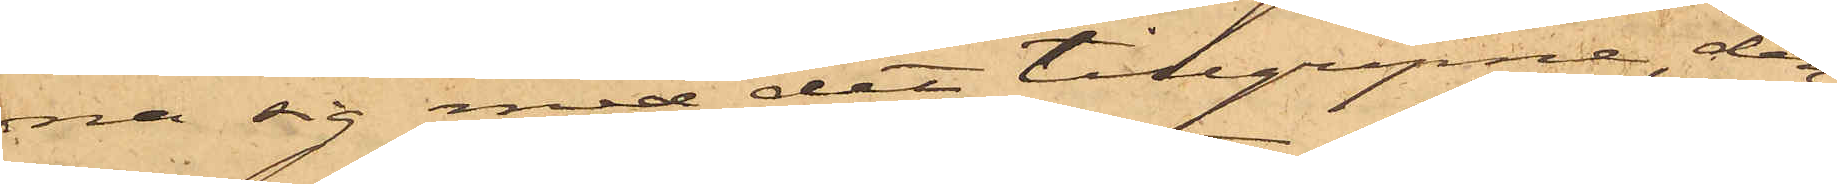na sig med det tillgripne, den¬
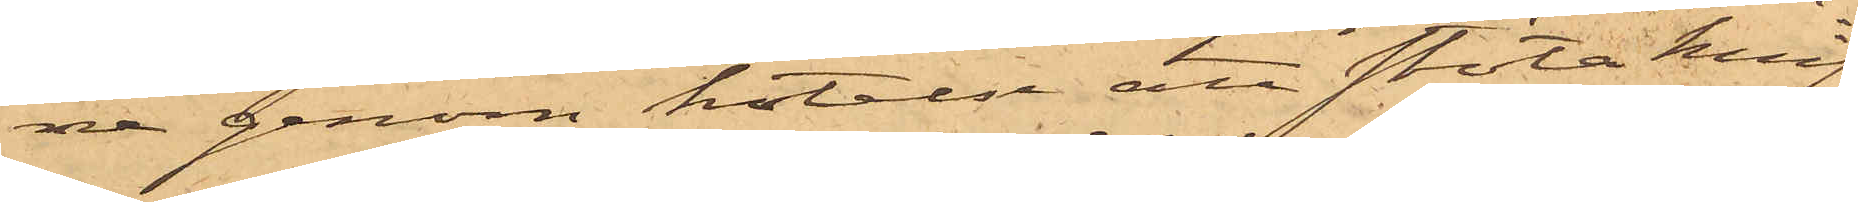ne genom hotelse att stöta knif¬
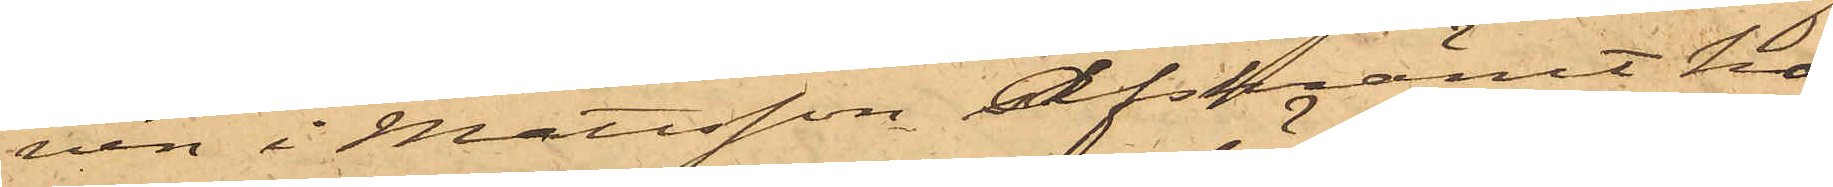ven i Mattsson afskrämt ho¬
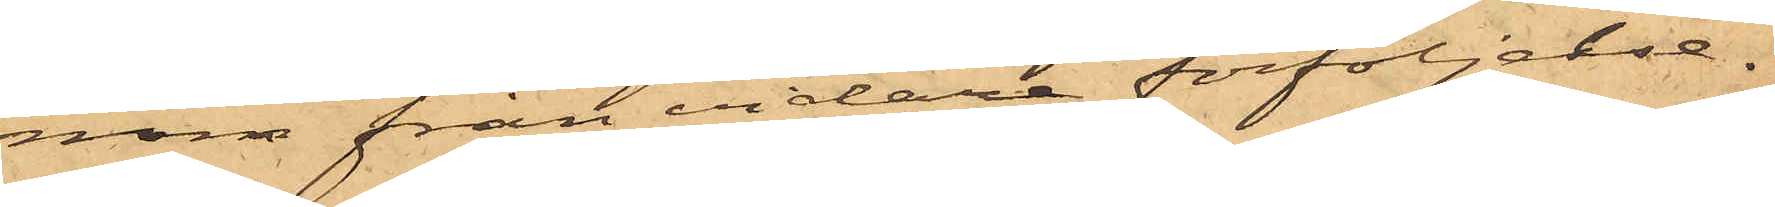nom från vidare förföljelse.
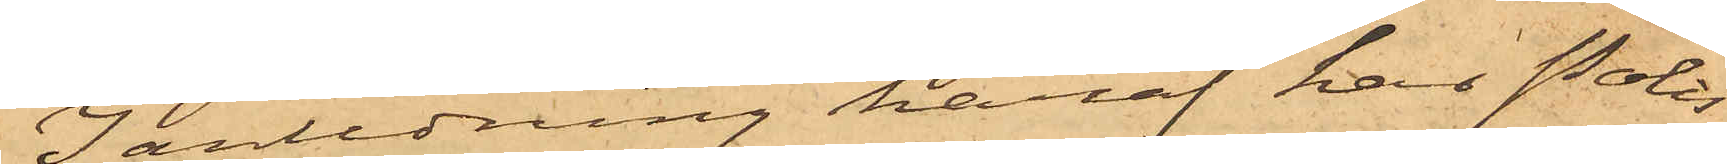I anledning häraf har Polis¬
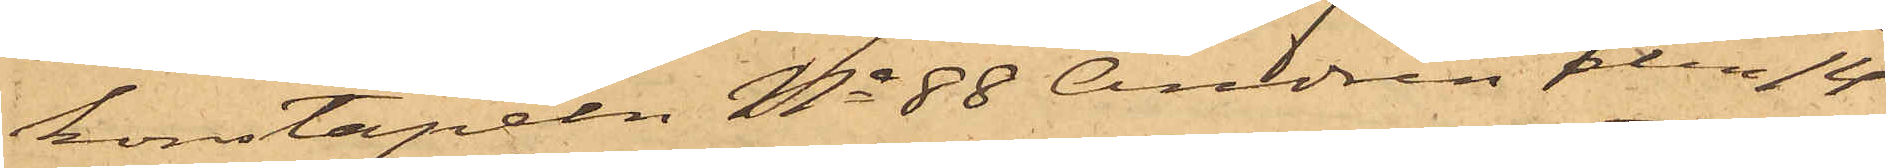konstapeln No 88 Andrén den 14
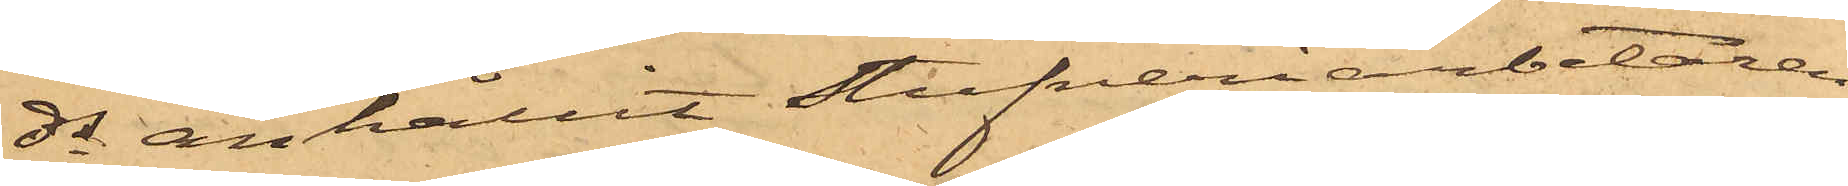ds anhållit Stufveriarbetaren
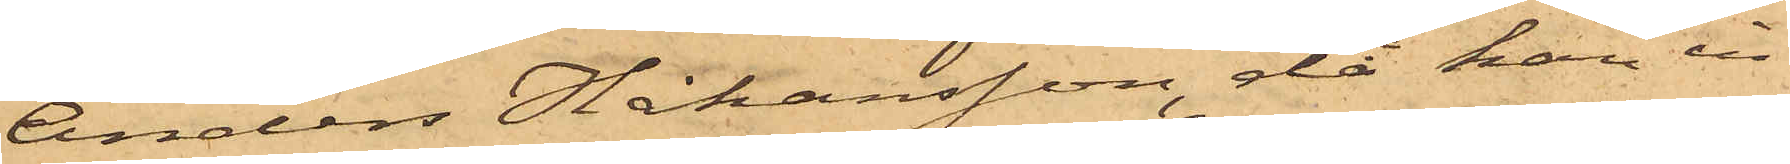Anders Håkansson, då han in¬
